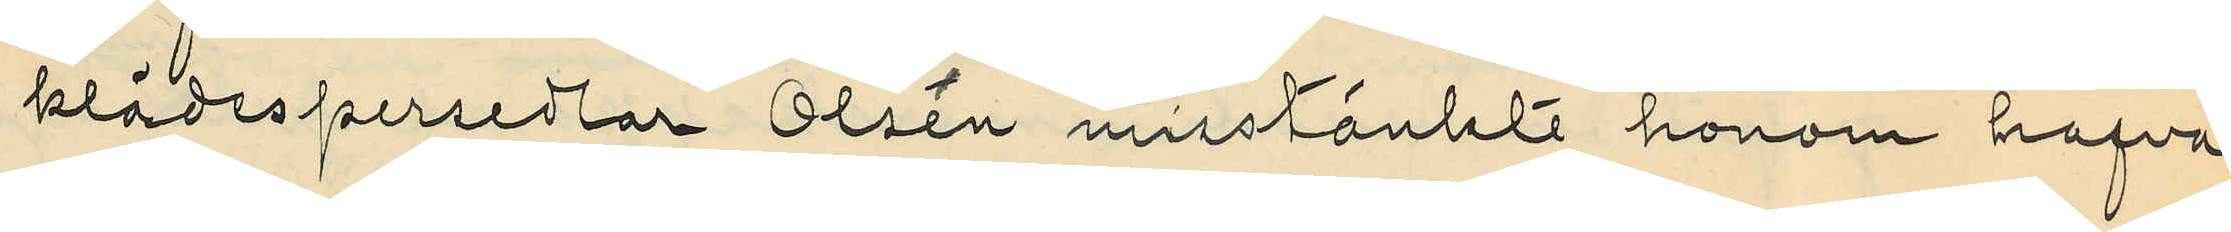klädespersedlar Olsén misstänkte honom hafva
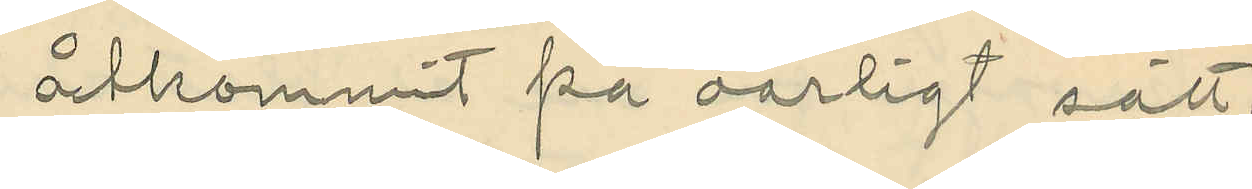åtkommit på oärligt sätt.
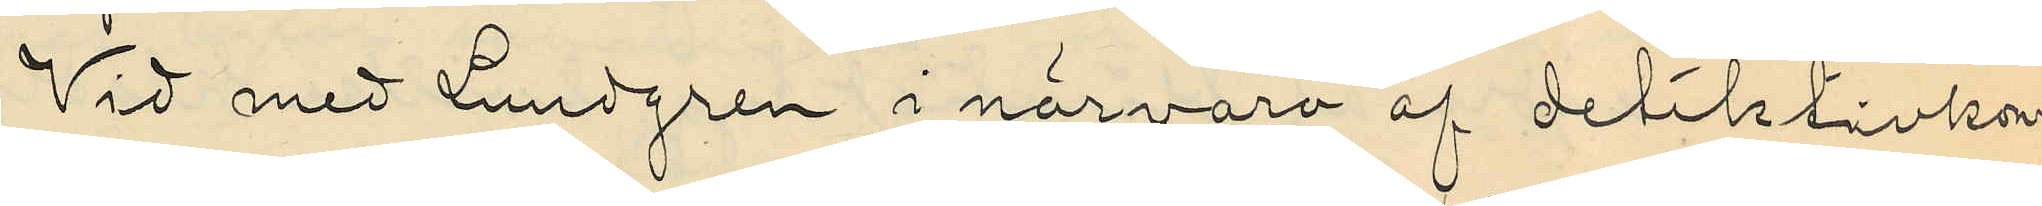Vid med Lundgren i närvaro af detiktivkon¬
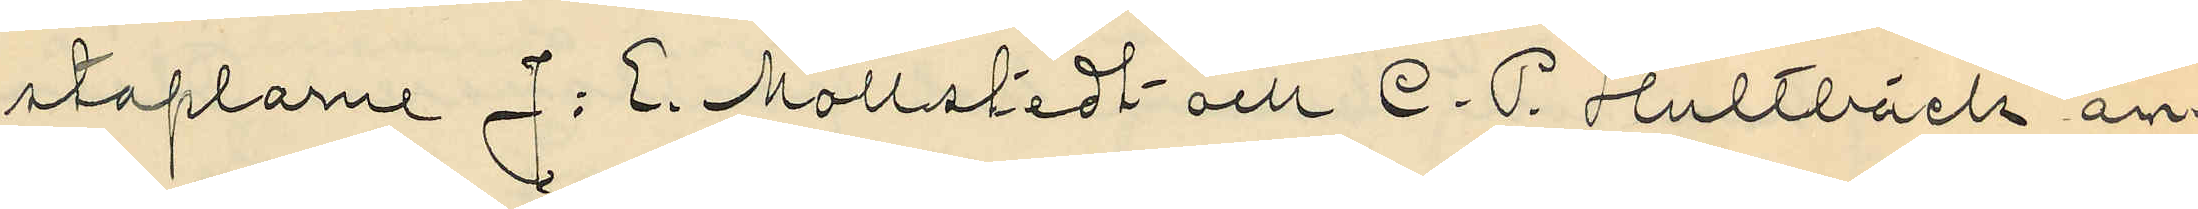staplarne J. E. Mollstedt och C. P. Hultbäck an¬
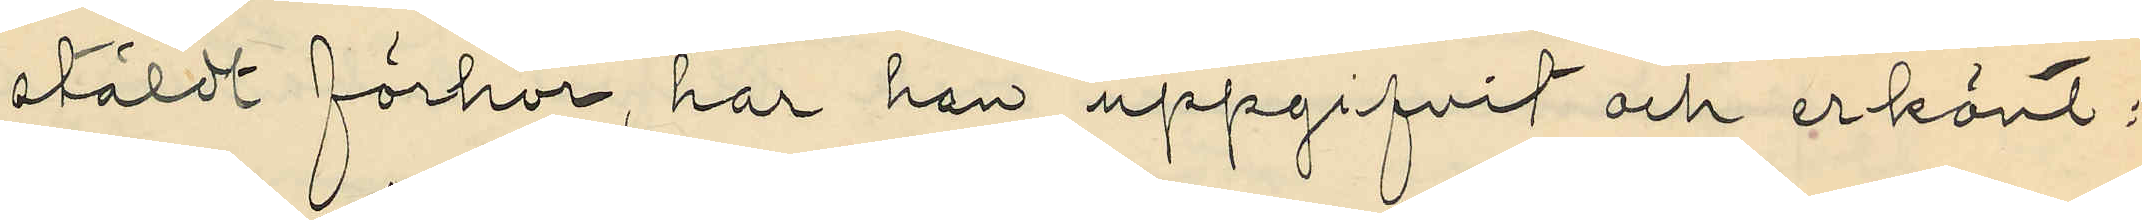stäldt förhör, har han uppgifvit och erkänt:
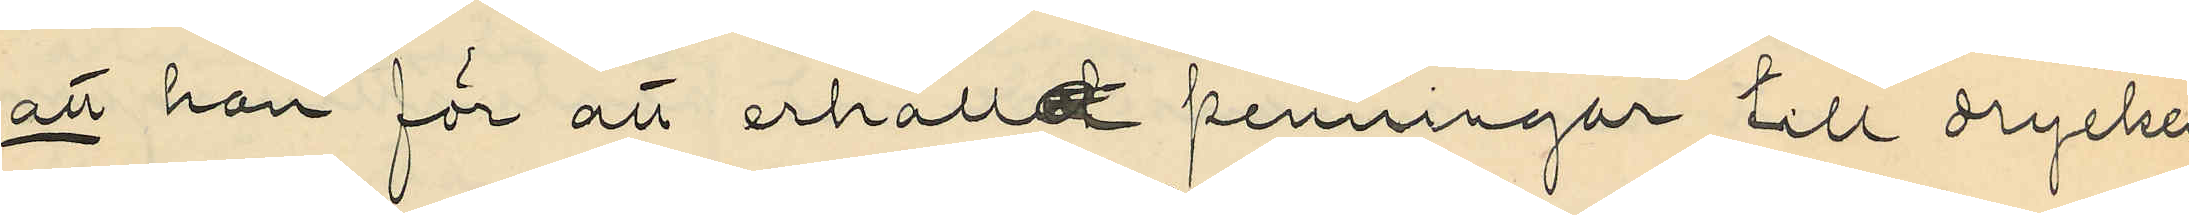att han för att erhålla penningar till dryckes¬
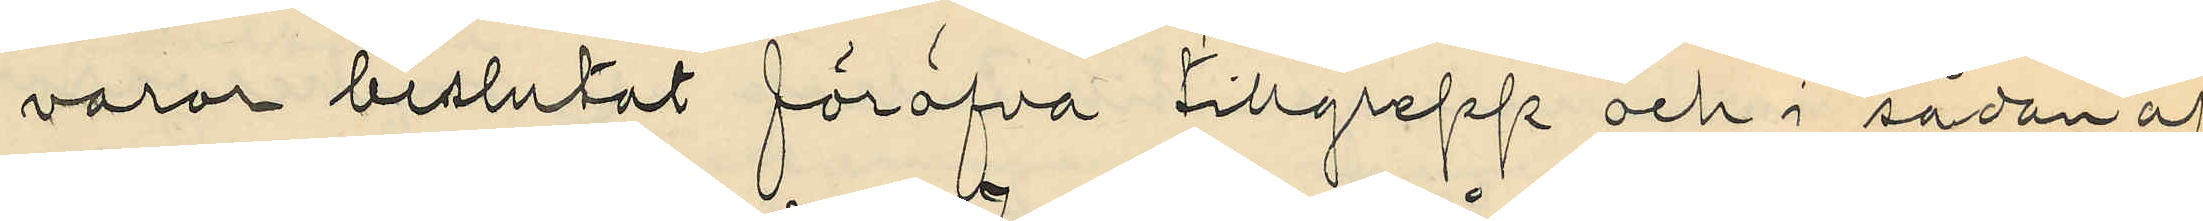varor beslutat föröfva tillgrepp och i sådan af¬
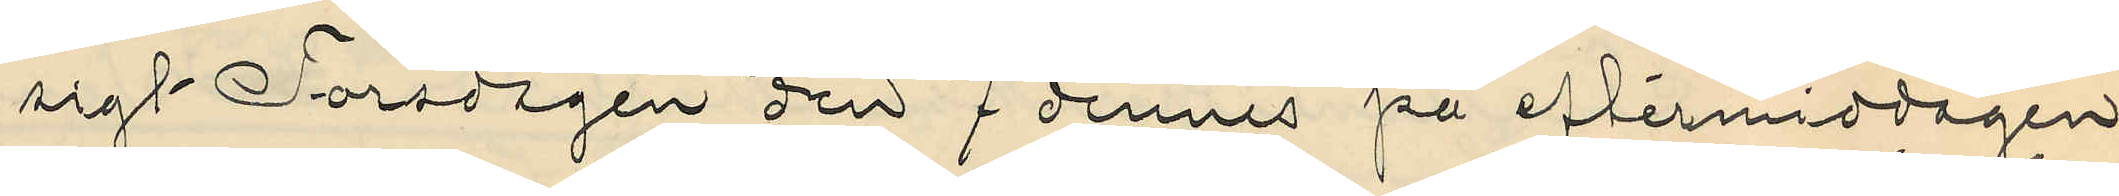sigt Torsdagen den 7 dennes på eftermiddagen
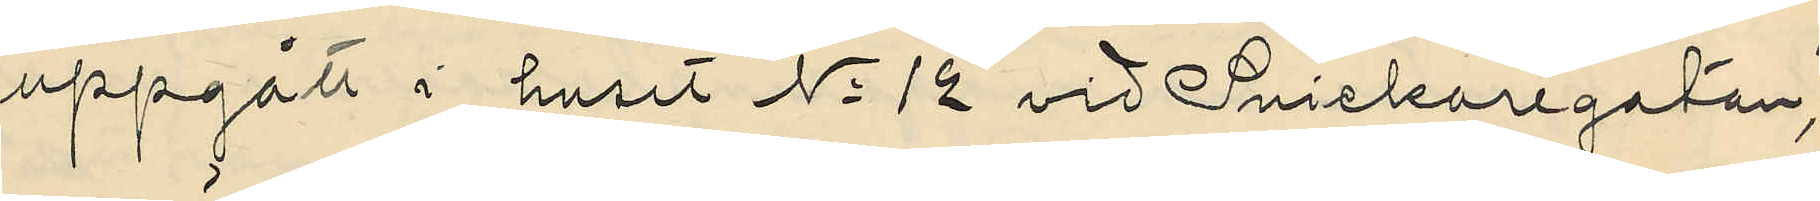uppgått i huset No 12 vid Snickaregatan,
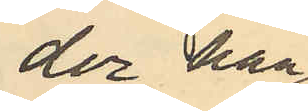der han
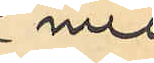med
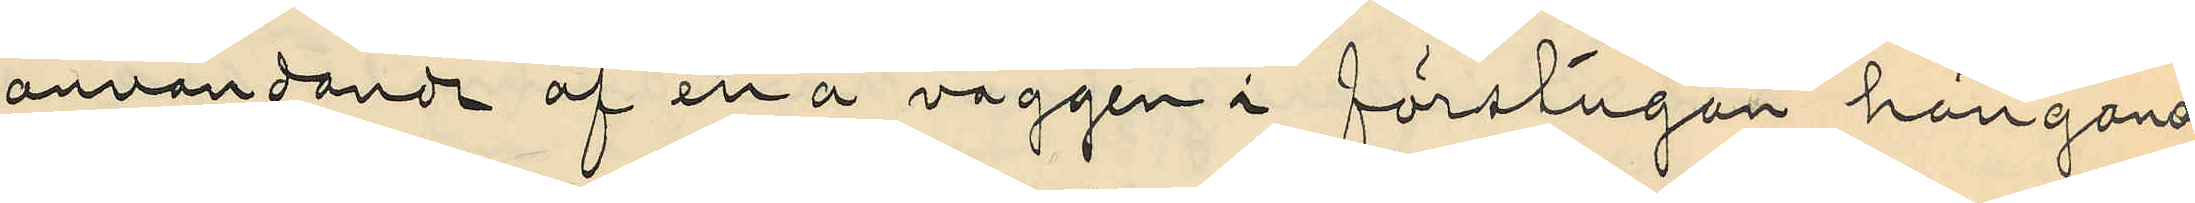användande af en å väggen i förstugan hängande
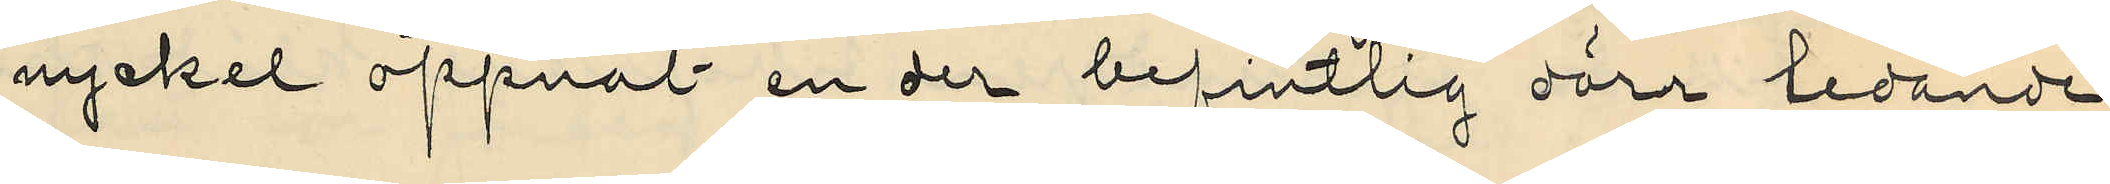nyckel öppnat en der befintlig dörr ledande
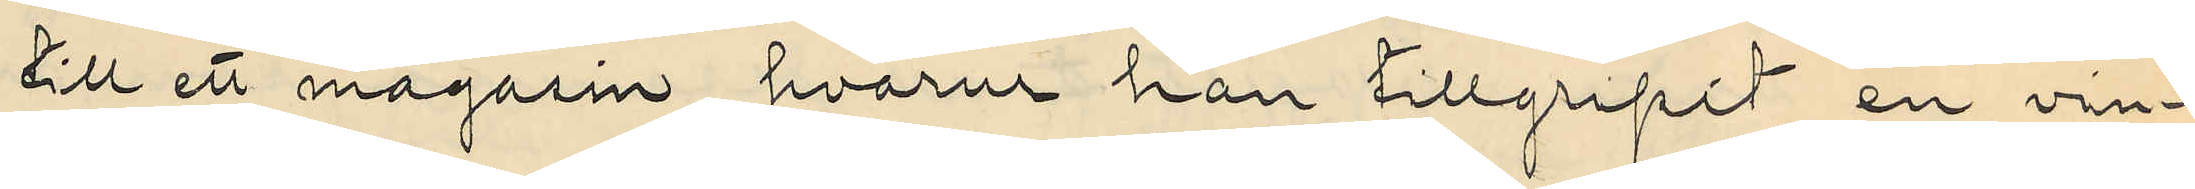till ett magasin, hvarur han tillgripit en vin¬
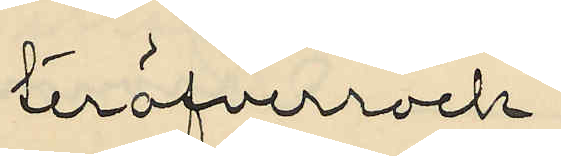teröfverrock,
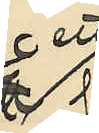ett
